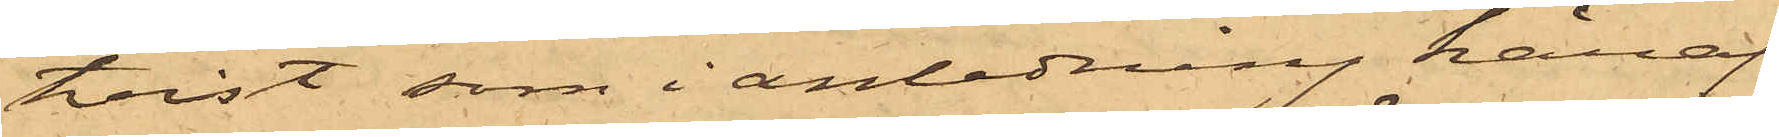tvist, som i anledning häraf
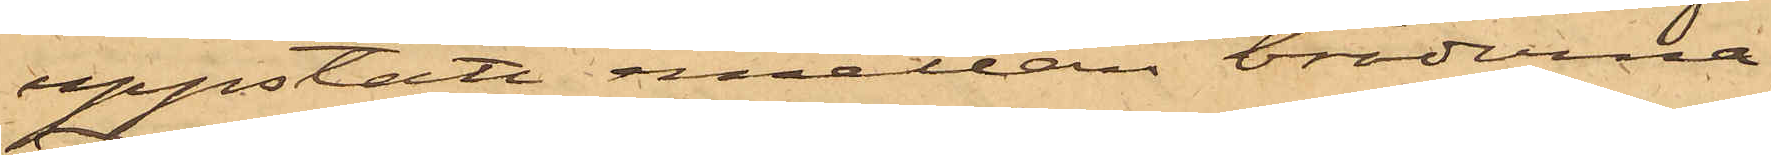uppstått emellan bröderna,
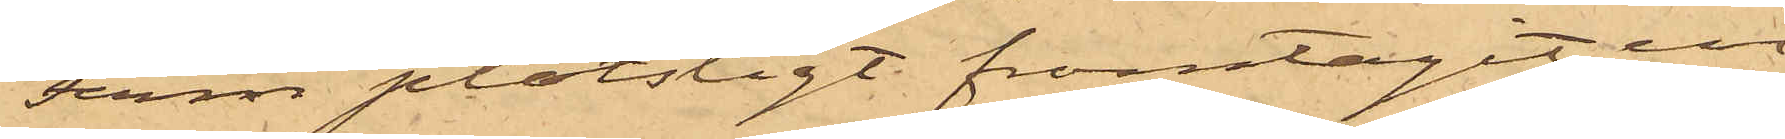Ferm plötsligt framtagit en
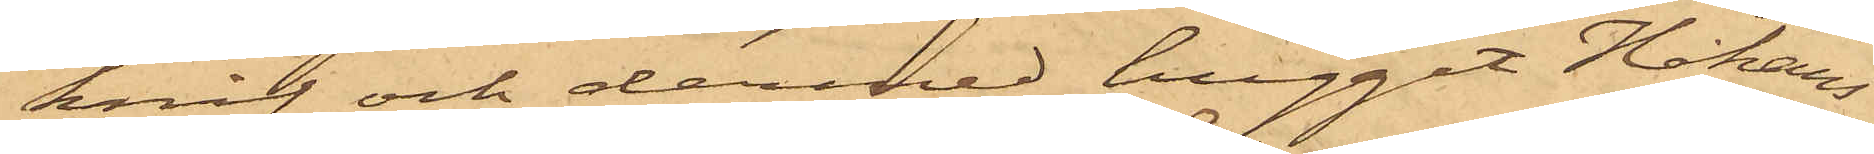knif och dermed huggit Håkans¬
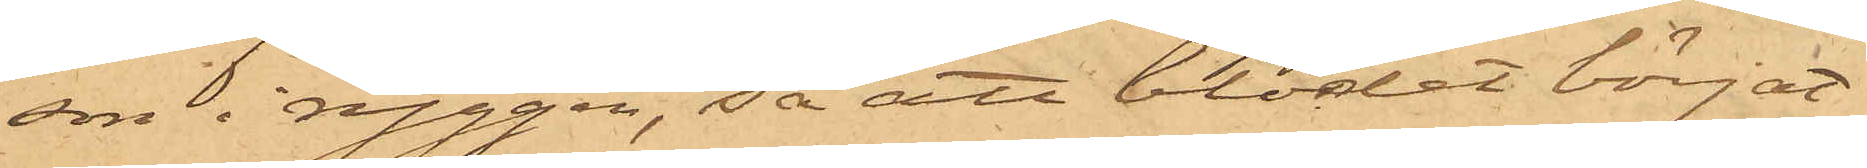son i ryggen, så att blodet börjat
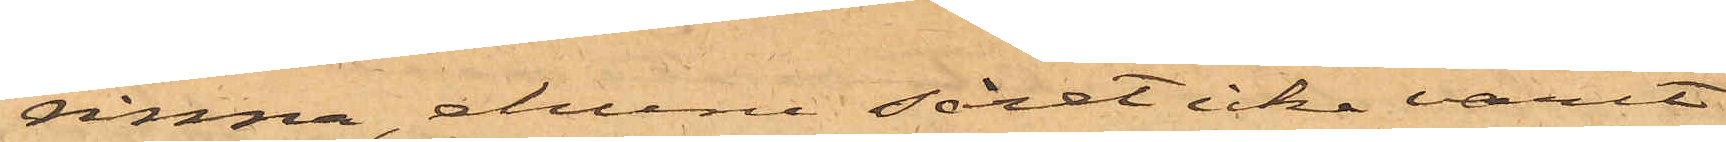rinna, ehuru såret icke varit
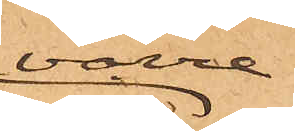värre
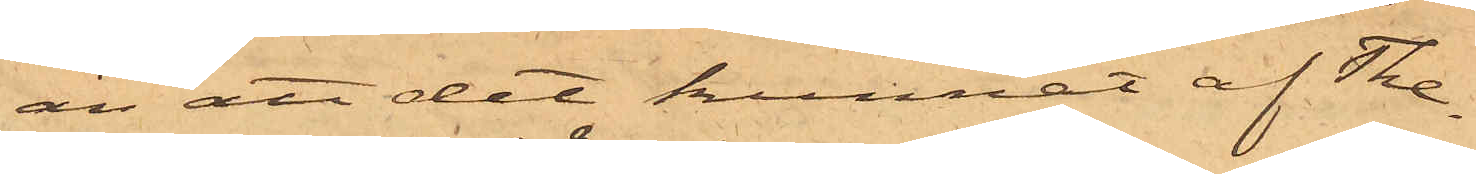än att det kunnat af The¬
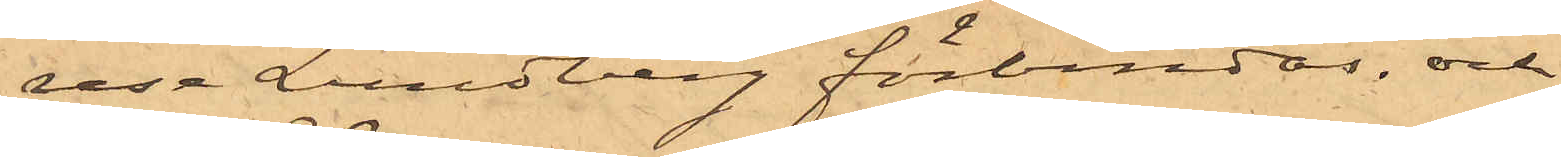rese Lundberg förbindas, och
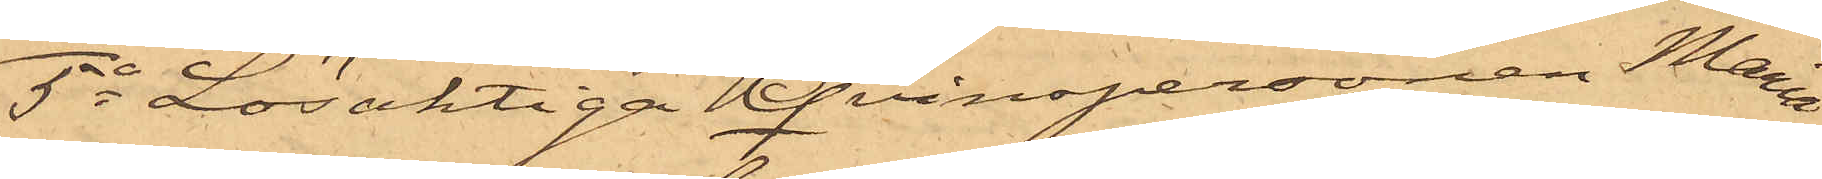5o Lösaktiga Qvinspersonen Maria
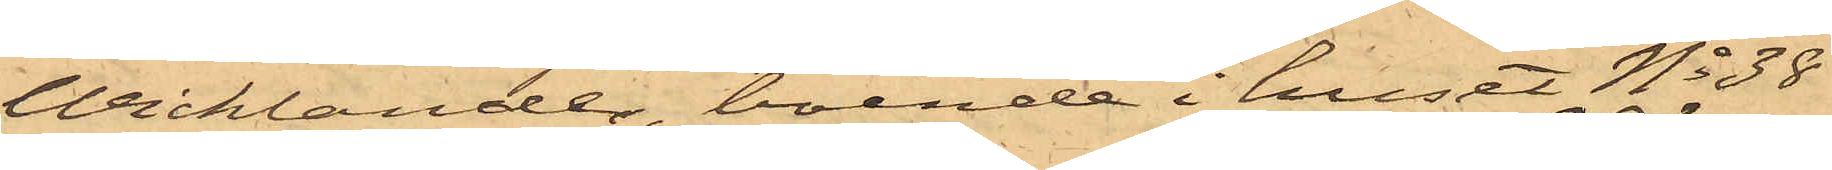Wicklander, boende i huset No 38
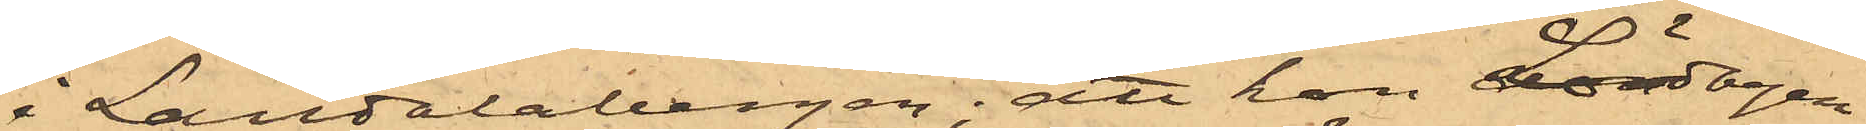i Landalabergen; att hon Lördagen
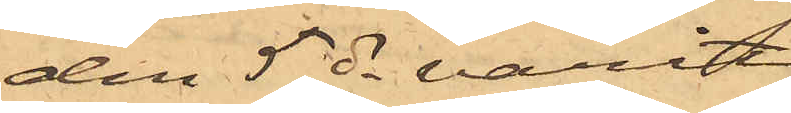den 5 ds varit
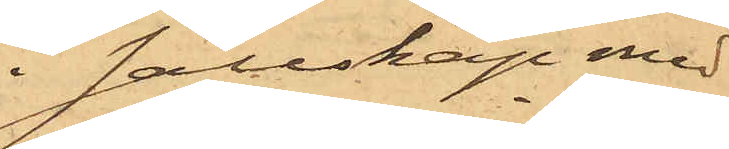i sällskap med
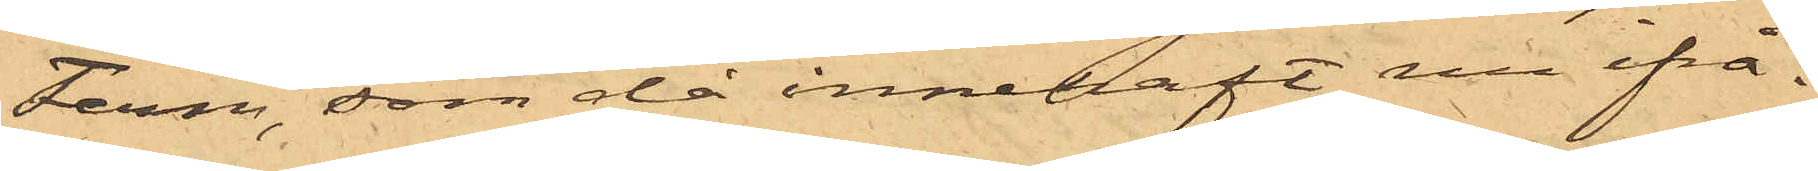Ferm, som då innehaft nu ifrå¬
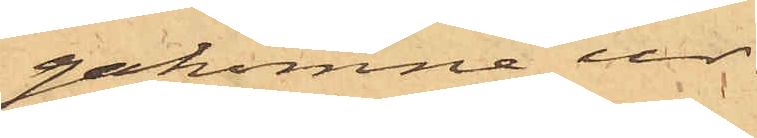gakomne ur.
